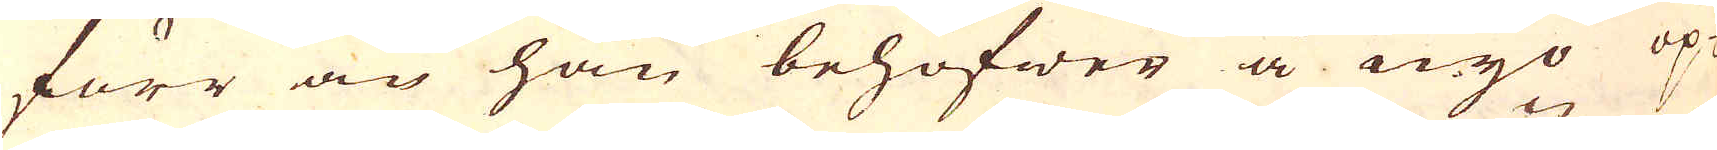förr än han behöfwer å nyo op-
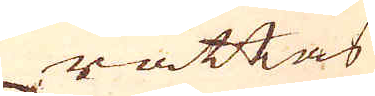rättas
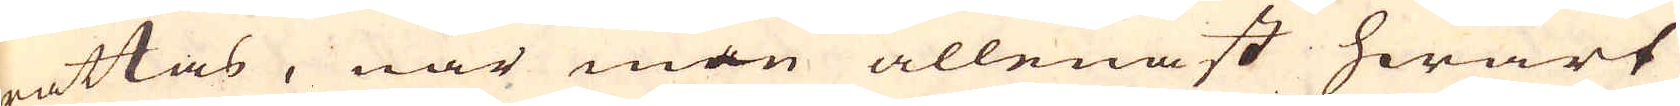rättas, när man allenast hwart
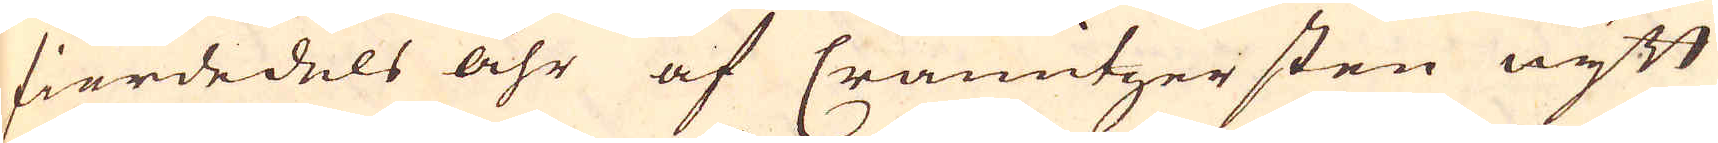fierdedels åhr af Cramitzersten nytt
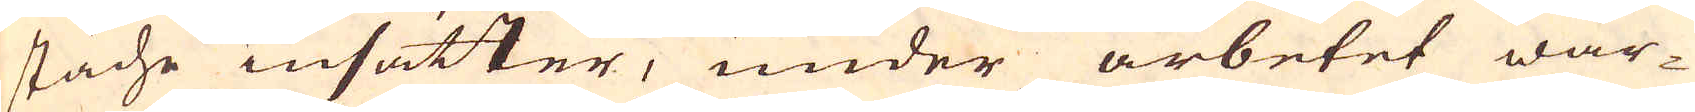städe insätter, under arbetet war-
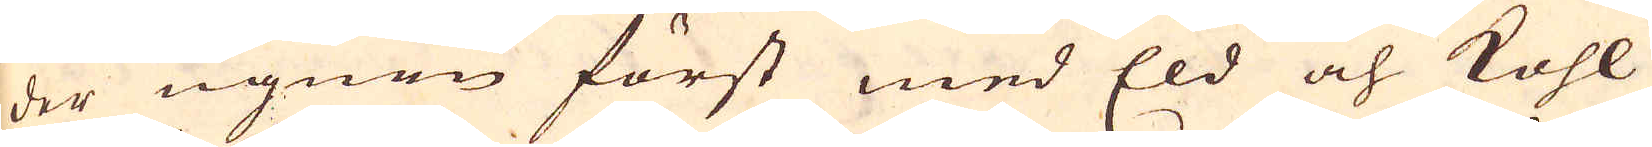der ugnen först med Eld och Kohl
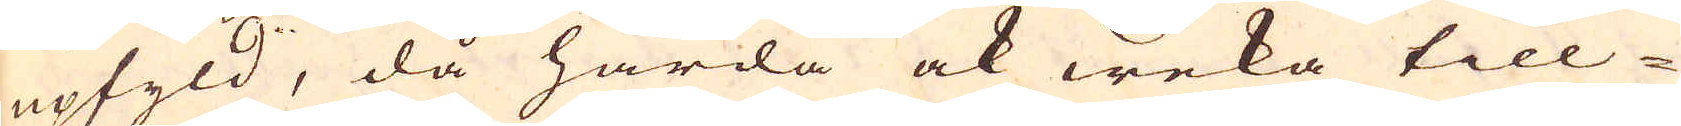upfyld, då hårda ock weka till-
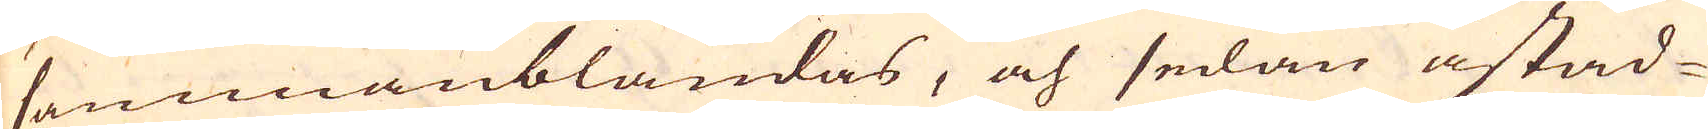sammanblandas, och sedan åstad-
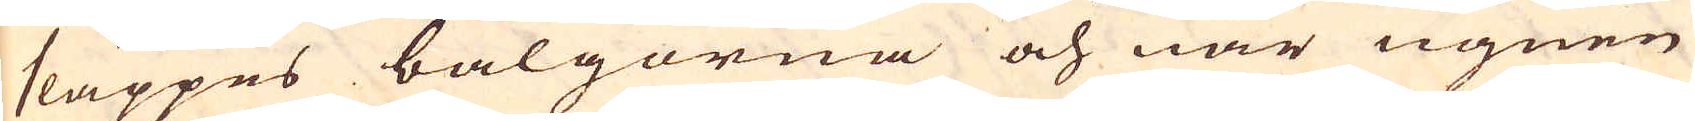släppes bälgorna och när ugnen
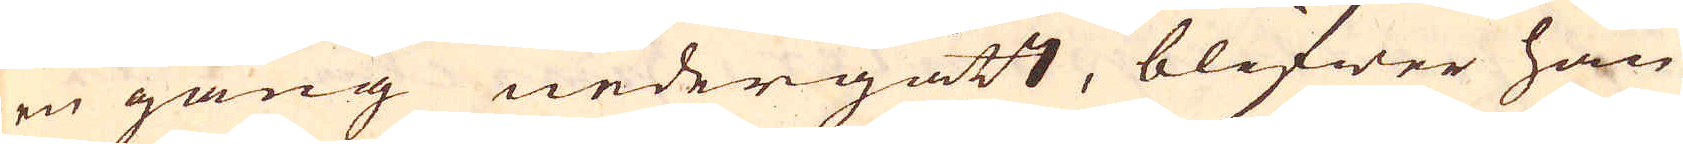en gång nedergått, blifwer han
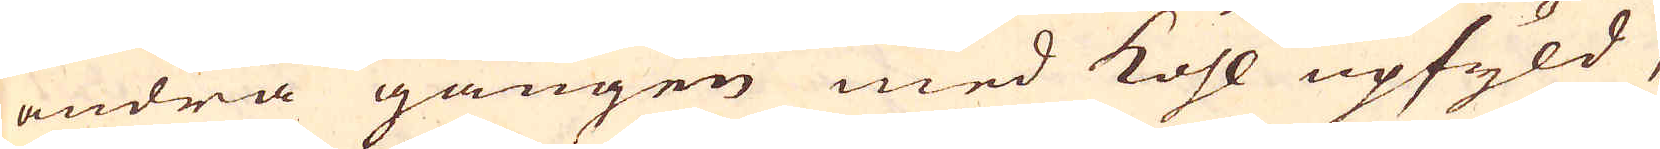andra gången med Kohl upfyld,
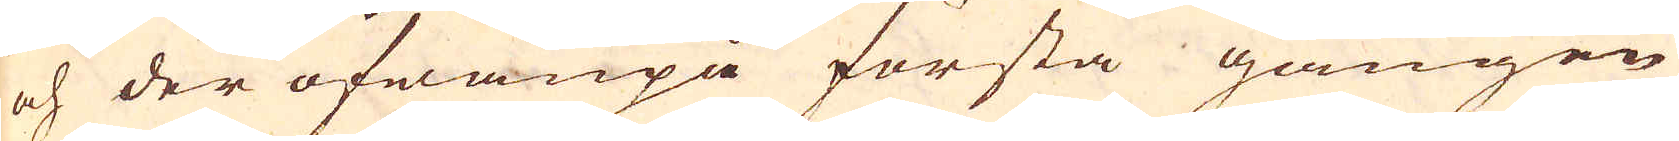och der ofwanpå första gången
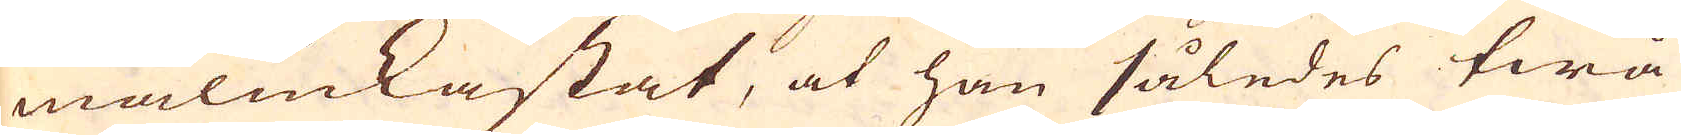malmkastat, at han således twå
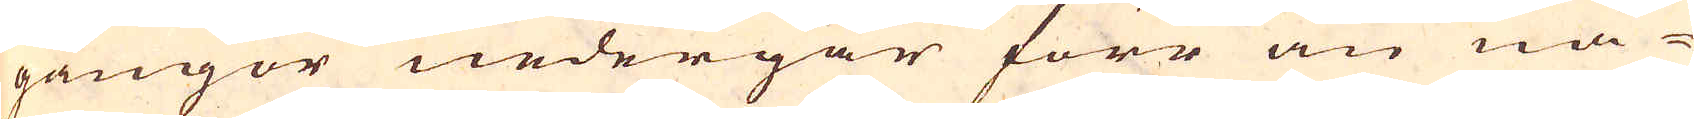gångor nedergår förr än nå-
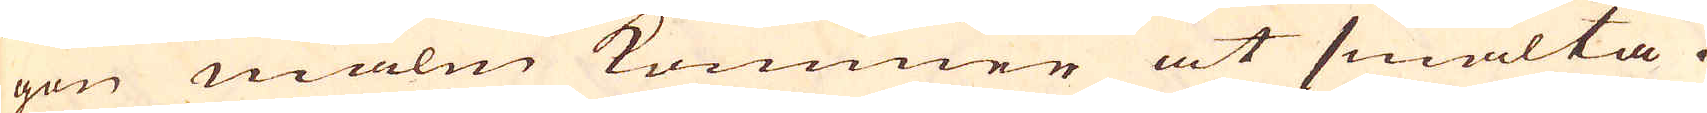gon malm kommer at smälta.
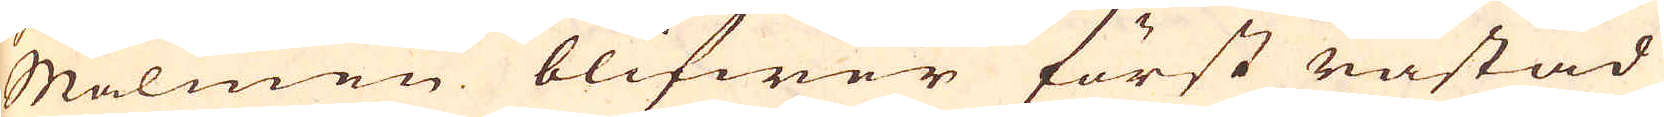Malmen blifwer först råstad
